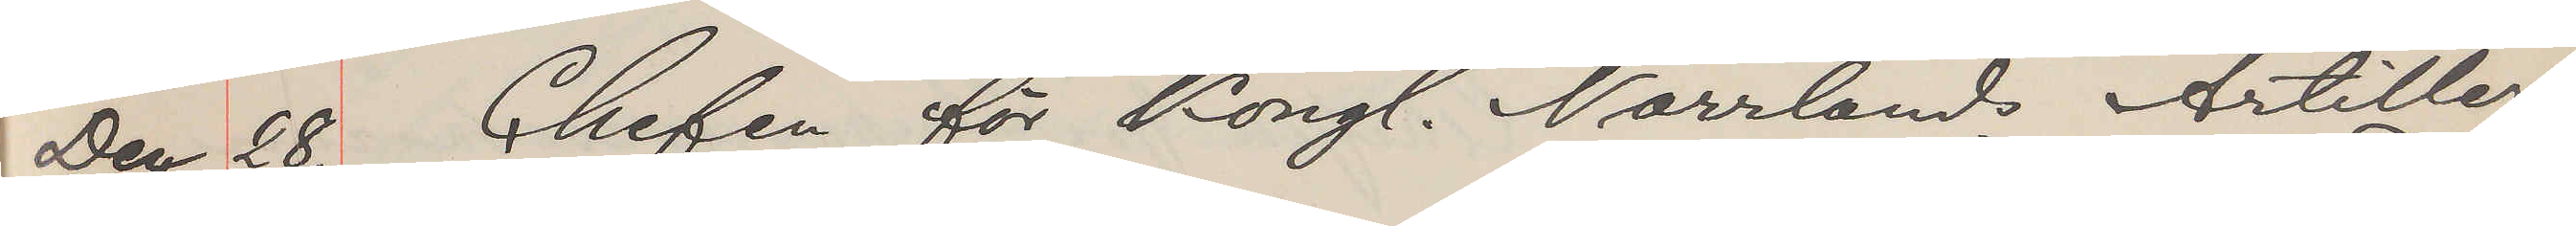Dec. 28. Chefen för Kongl. Norrlands Artilleri
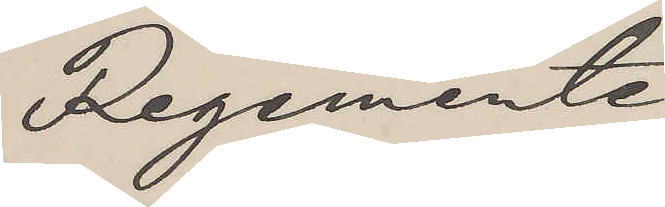Regemente
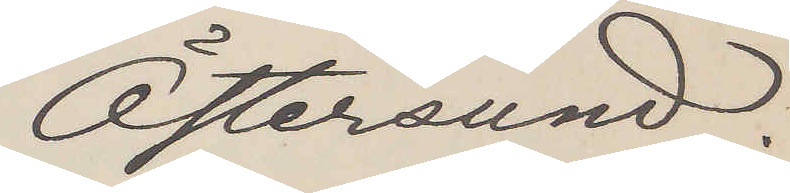Östersund.
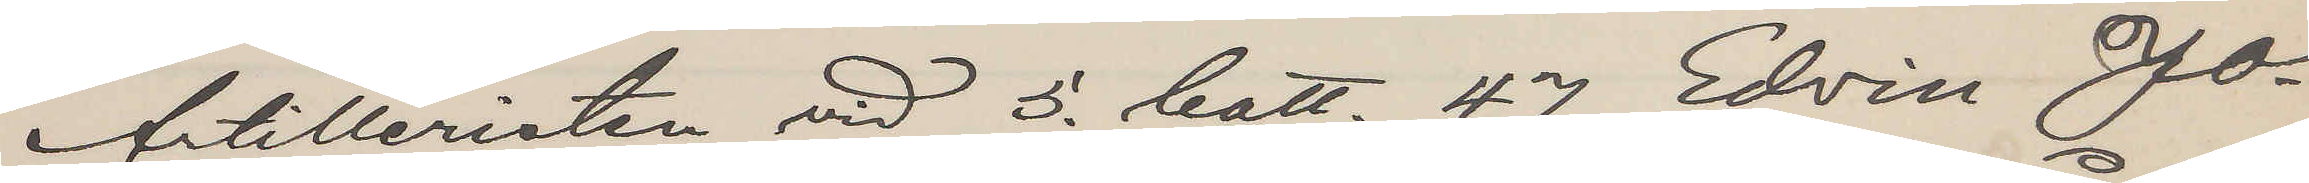Artilleristen vid 5. batt. 47 Edvin Jo¬
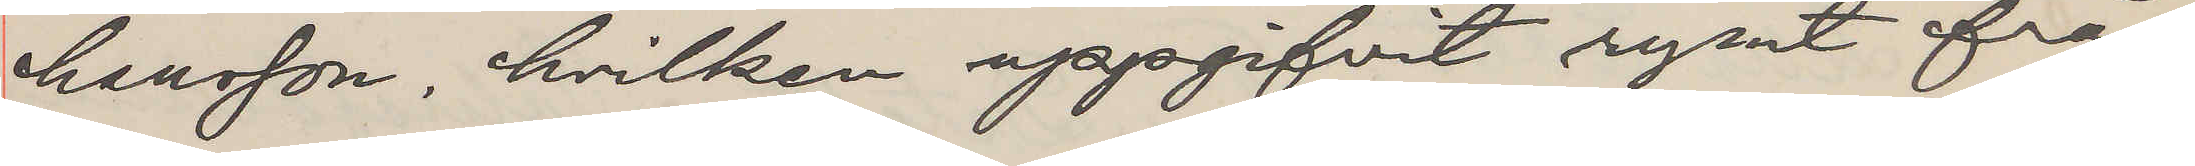hansson, hvilken uppgifvit rymt från
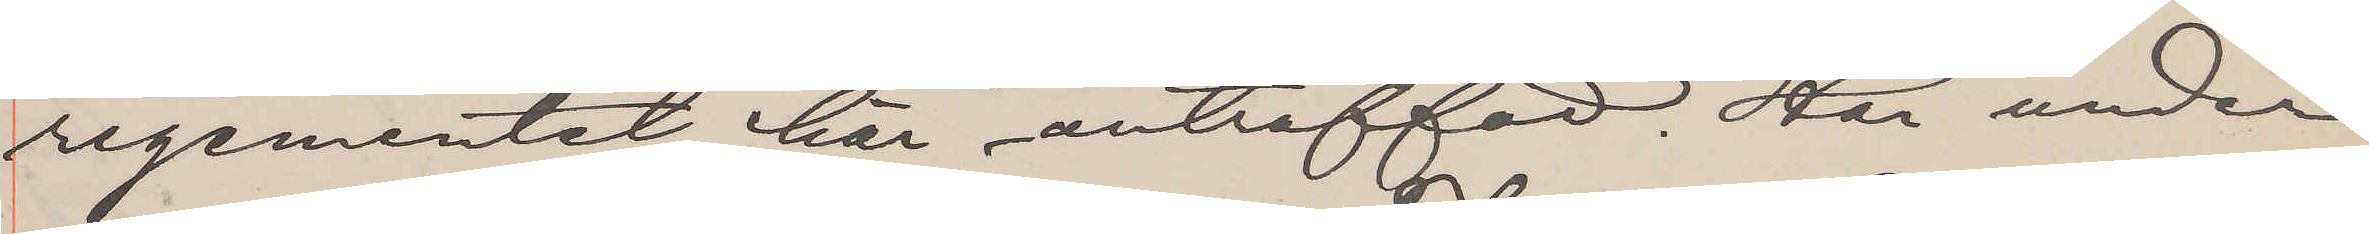regementet, här anträffad. Har under
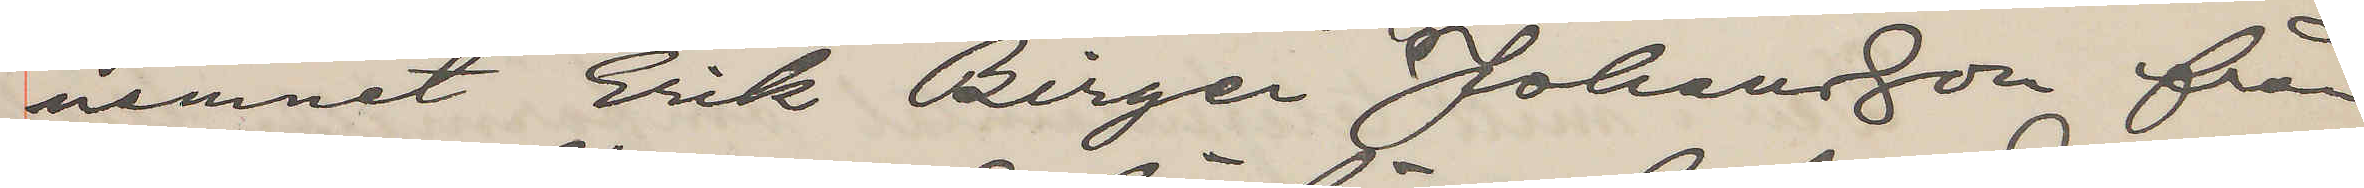namnet Erik Birger Johansson från
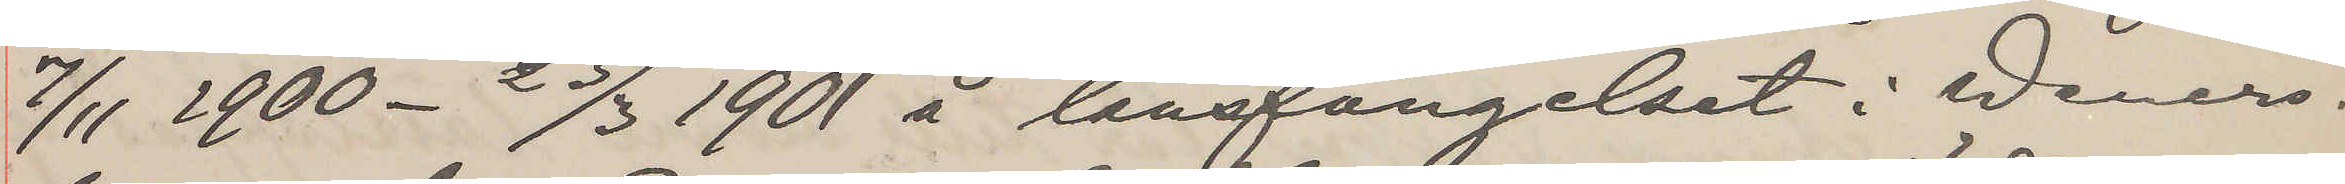7/11 1900 - 23/3 1901 å länsfängelset i Weners¬
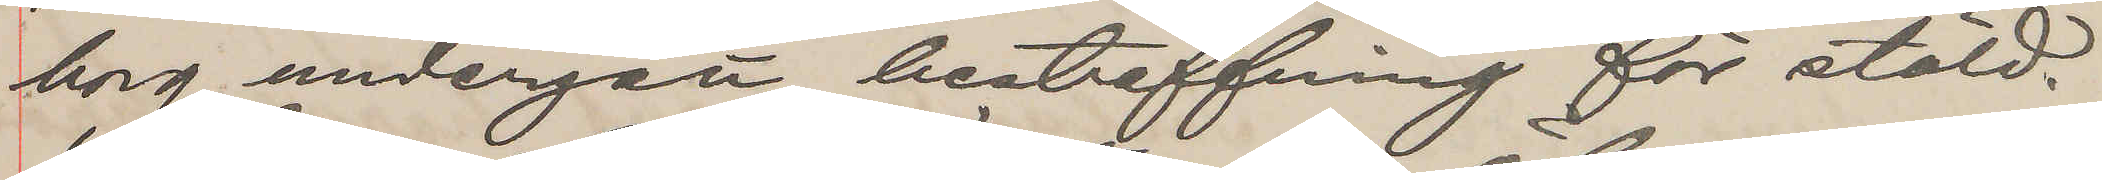borg undergått bestraffning för stöld.
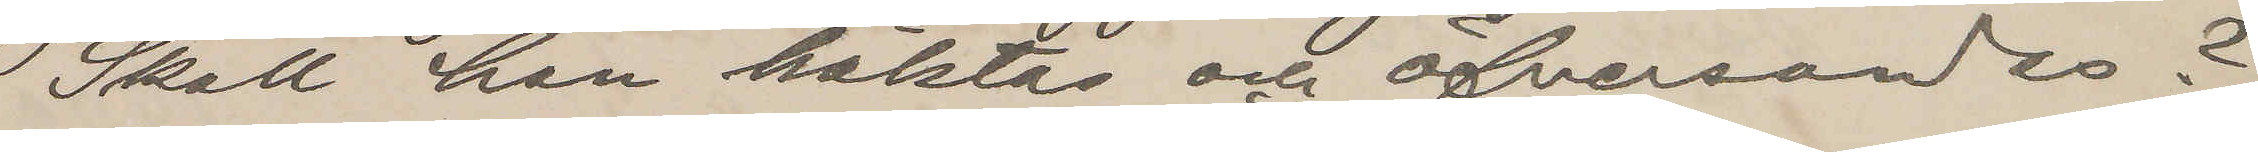Skall han häktas och öfversandas?
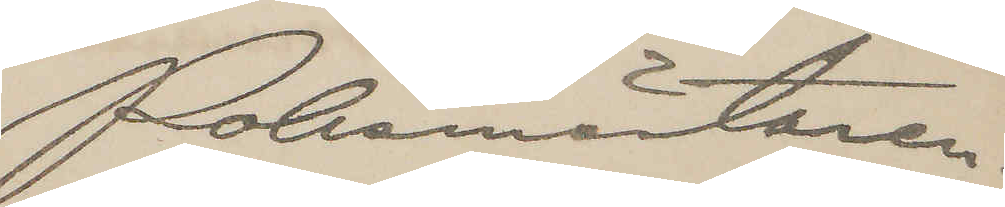Polismästaren.
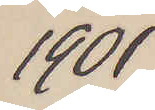1901
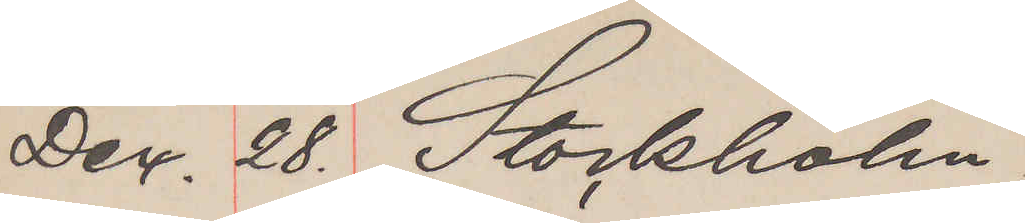Dec. 28. Stockholm.
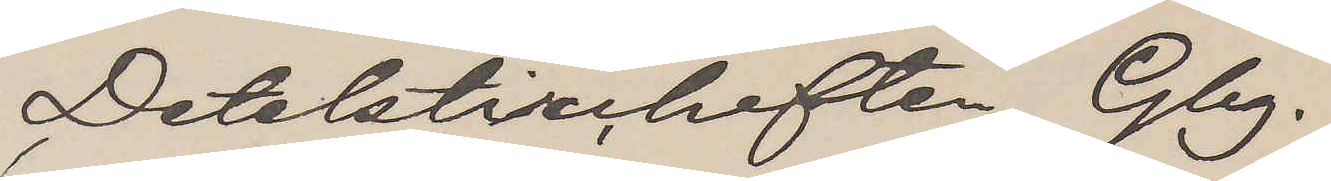Detektivcheften Gbg.
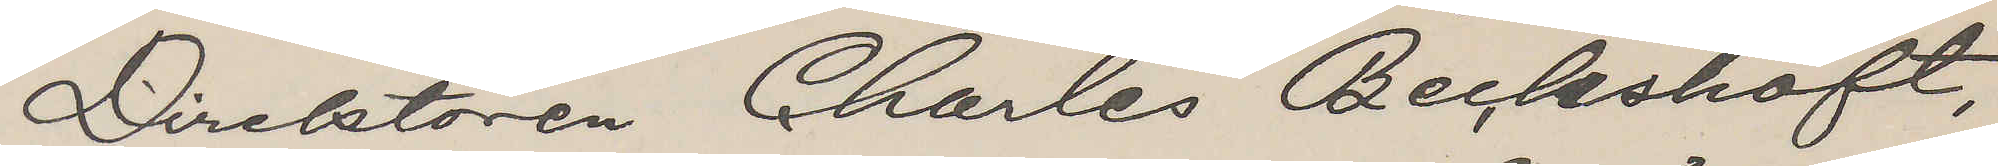Direktören Charles Beckshöft,
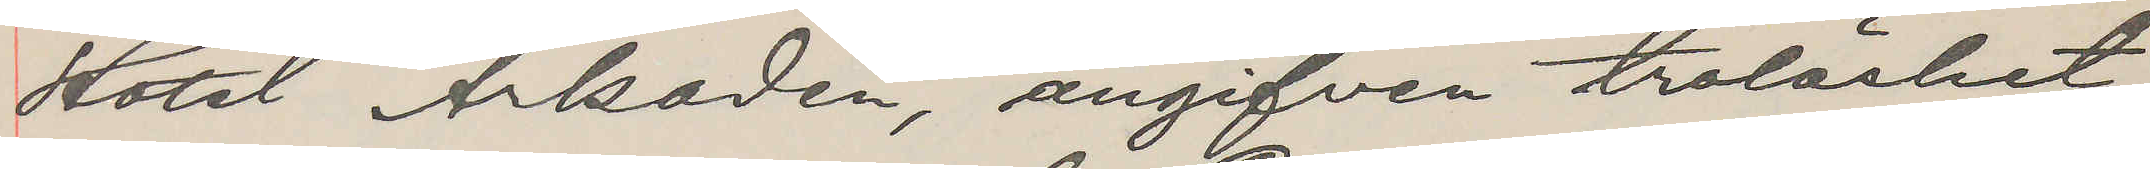Hotel Arkaden, angifven trolöshet
